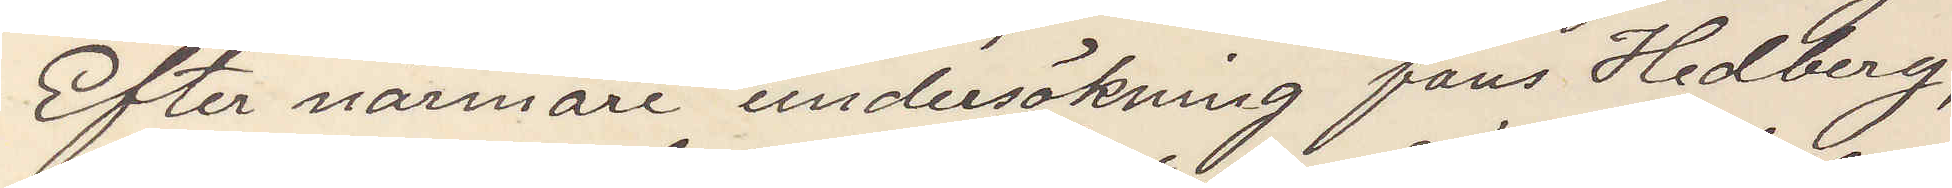Efter närmare undersökning fans Hedberg,
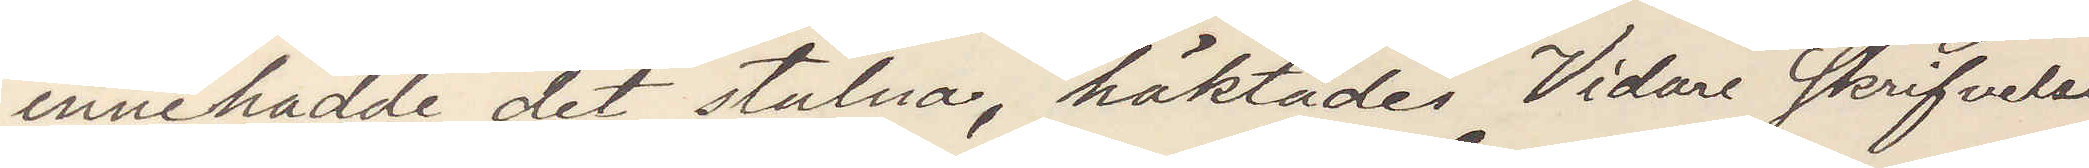innehadde det stulna, häktades Vidare skrifvelse
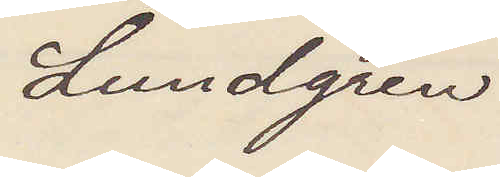Lundgren
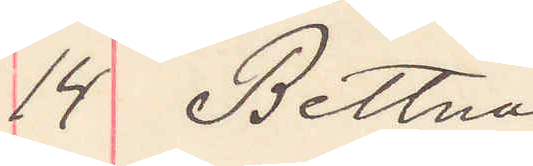14 Bettna
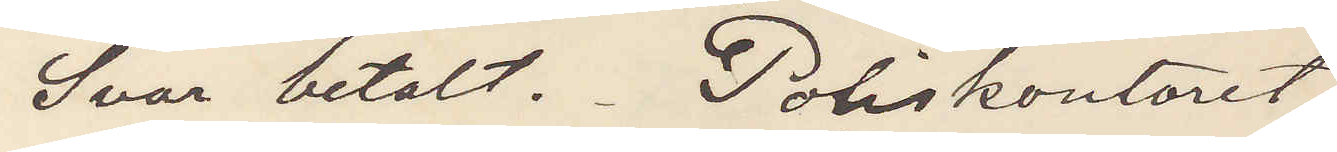Svar betalt. Poliskonstoret
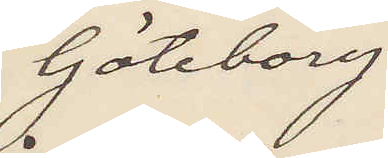Göteborg
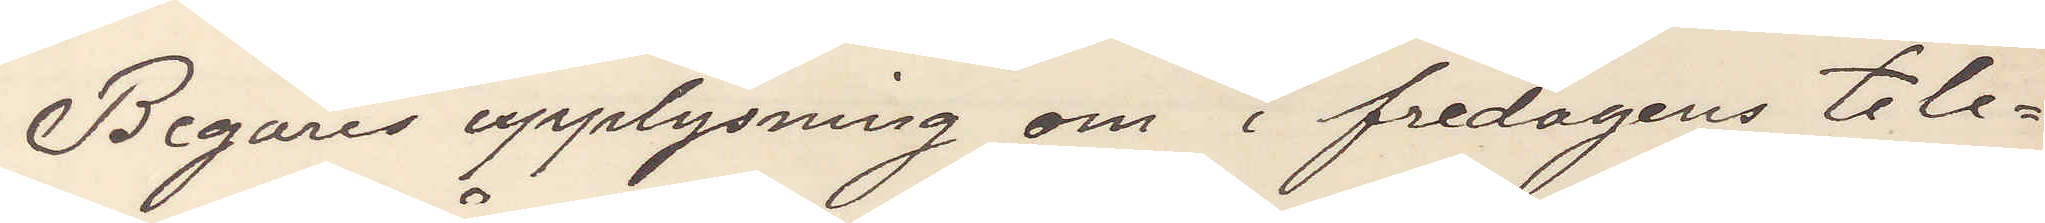Begäres upplysning om i fredagens tele¬
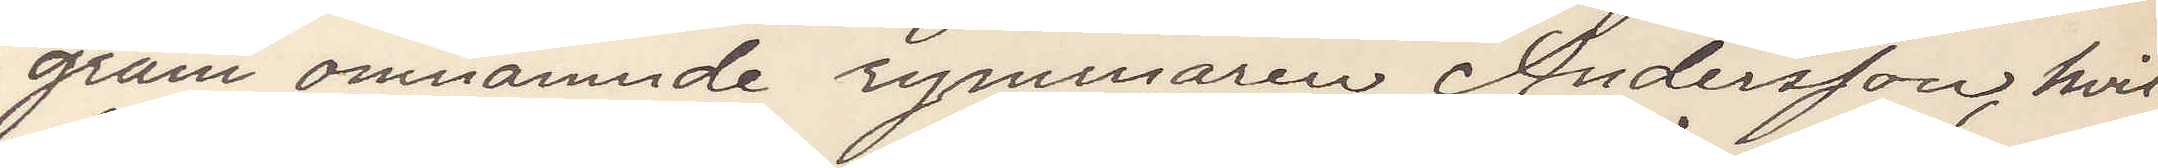gram omnämnde rymmaren Andersson hvil¬
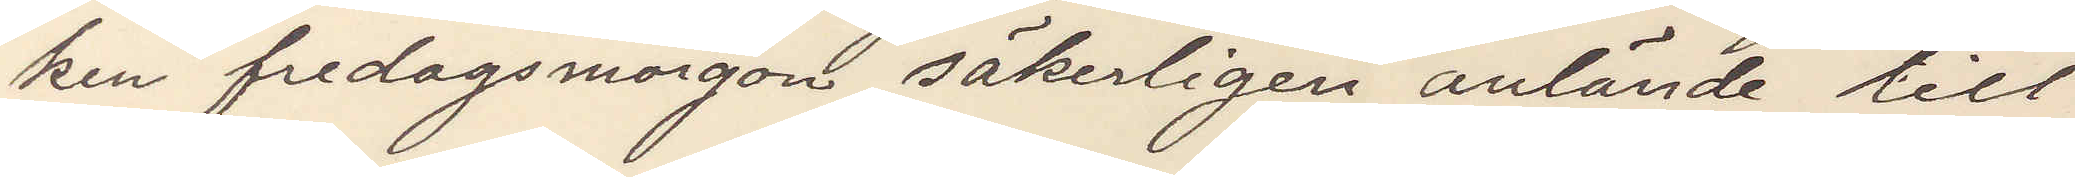ken fredagsmorgon säkerligen anlände till
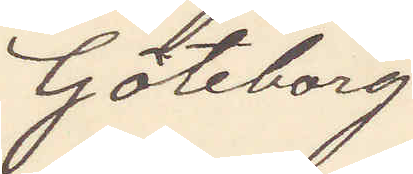Göteborg
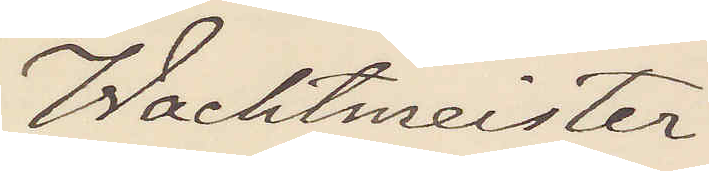Wachtmeister
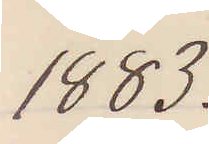1883.
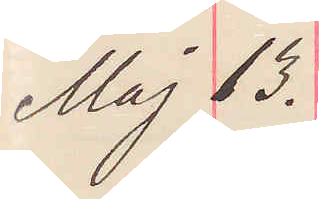Maj 13.
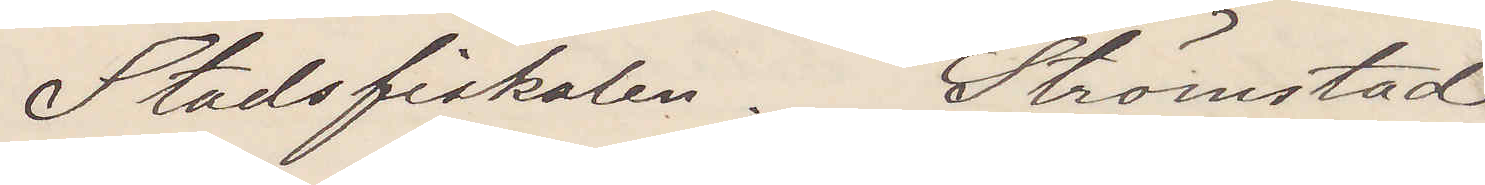Stadsfiskalen. Strömstad.
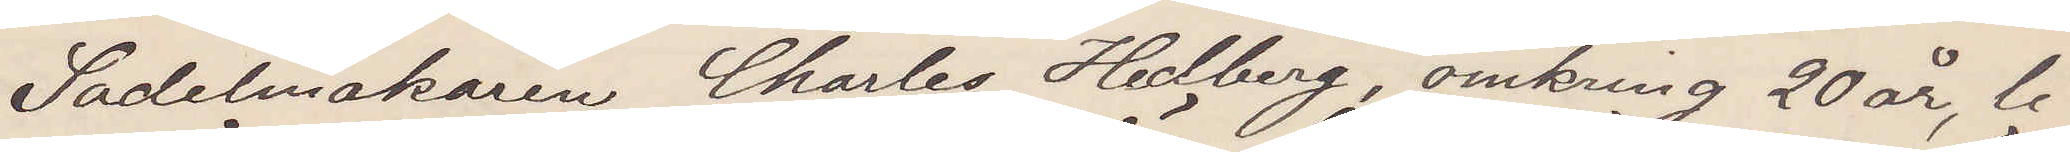Sadelmakaren Charles Hedberg, omkring 20 år, li¬
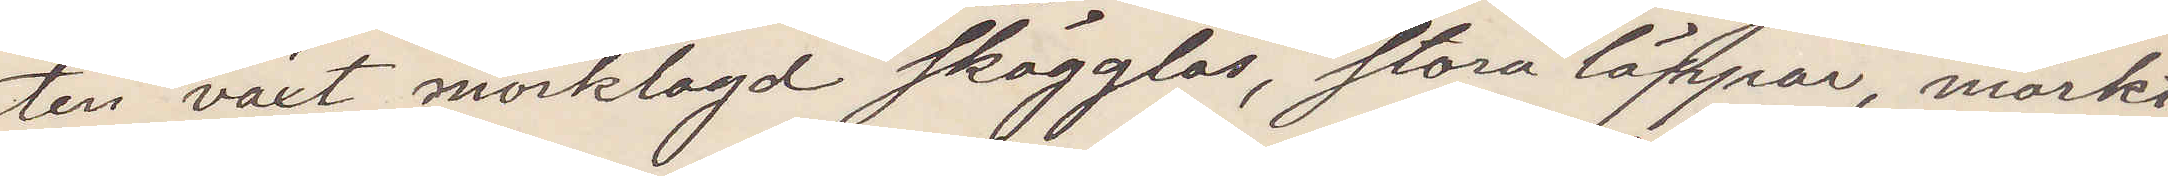ten växt, mörklagd skägglös, stora läppar, mörkt
